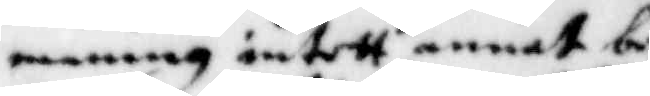maning intett annat be¬
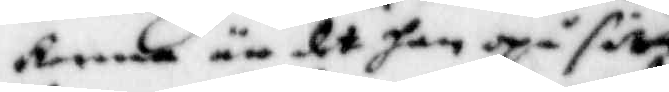kende än det han opå sitt
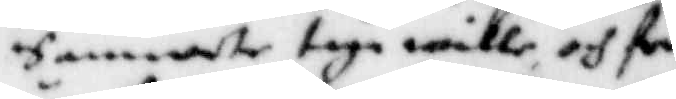Samwete taga wille och förr¬
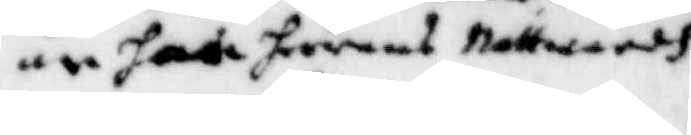än hade herrans Nattwardh
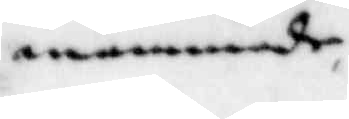anammade,
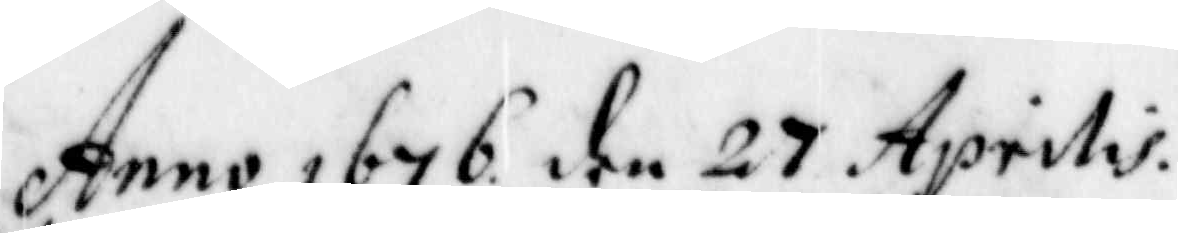Anno 1676 den 27 Aprilis.
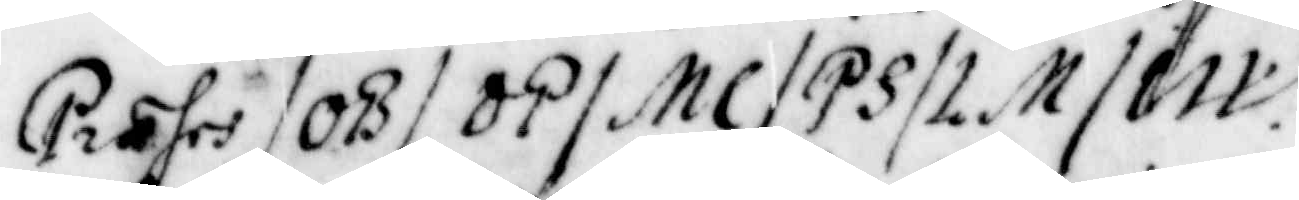Præses/ OB/ OP/ MC/ PS/ LM/ IW.
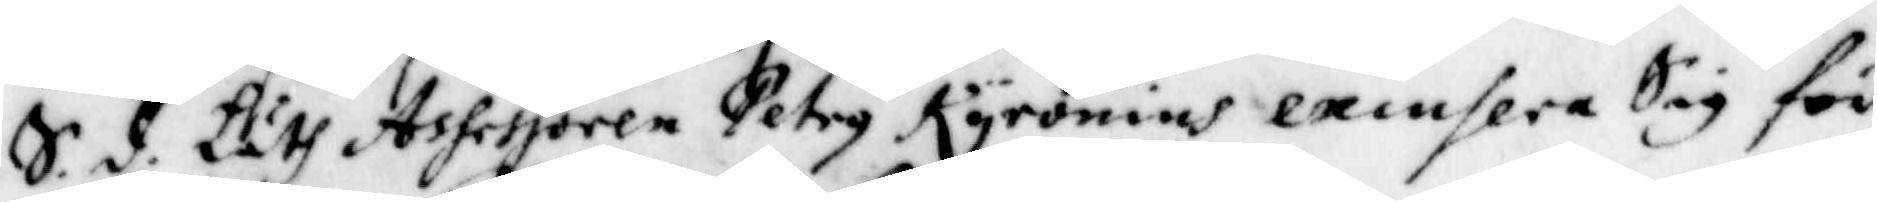S.d. Läth Assessoren Petry Kyronius exinsera Sig för
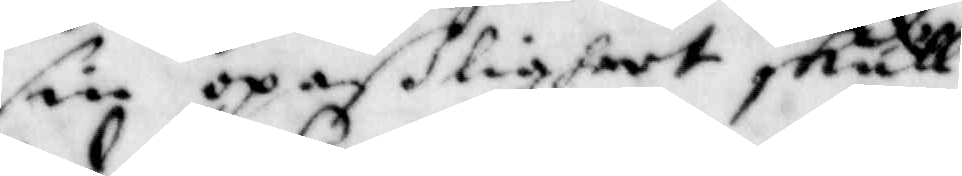sin opaßligheet skull.
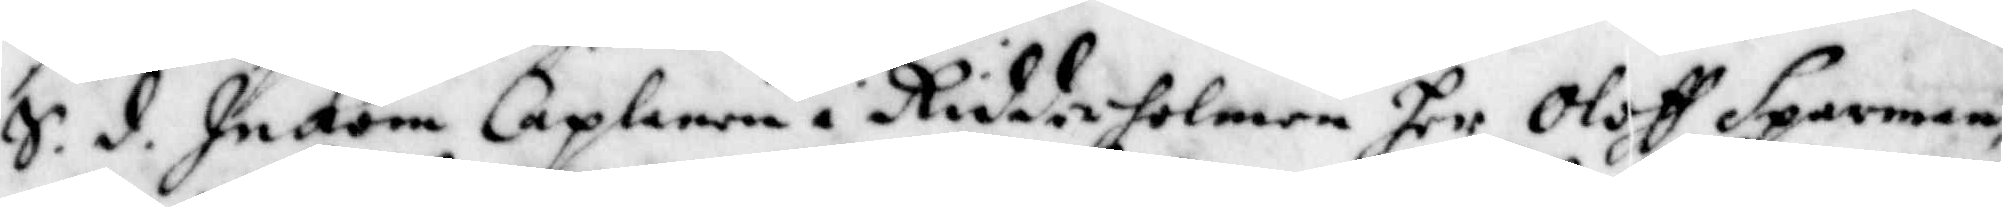S.d. Inkom Caplanen i Riddarholmen her Oloff Sparman,
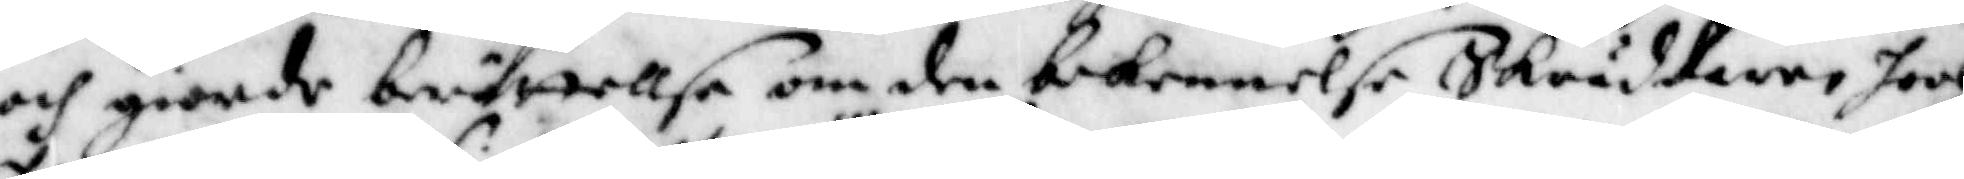och giorde berättellse om den bekennelse Skräddaren hoos
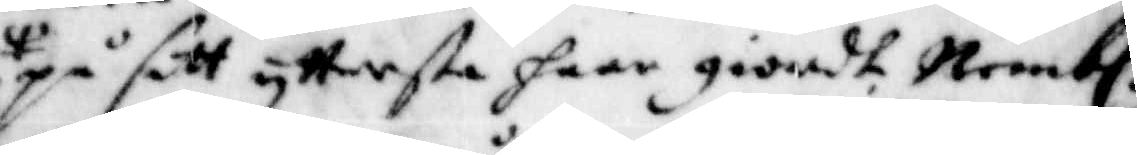på sitt yttersta haar giordt, Nembl.
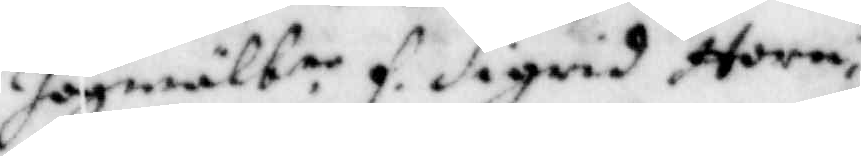högwälb.ne f. Sigrid Horn
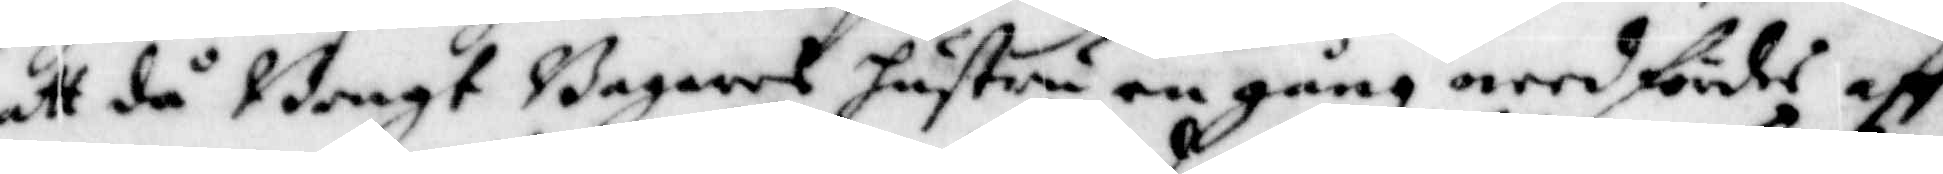att då Bengt Bagares hustru en gång needfördes aff
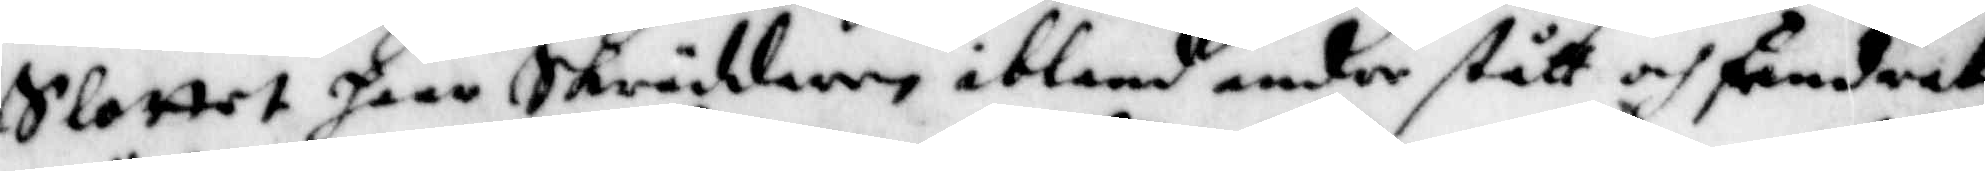Slottet haar Skräddaren ibland andre stått och fendrat
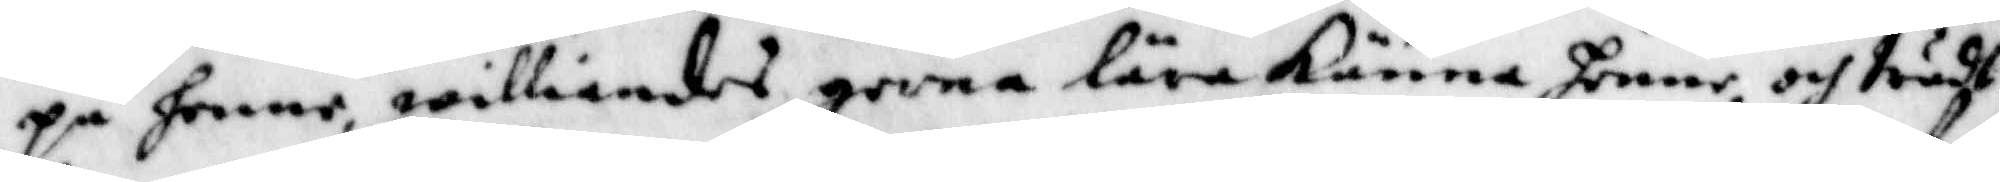på henne, williandes gerna lära känna hennem och trädh
